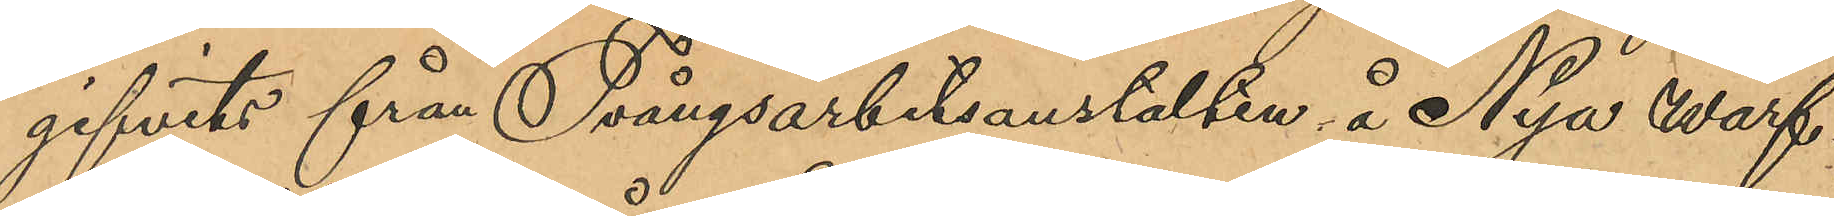gifvits från Tvångsarbetsanstalten å Nya Warf¬
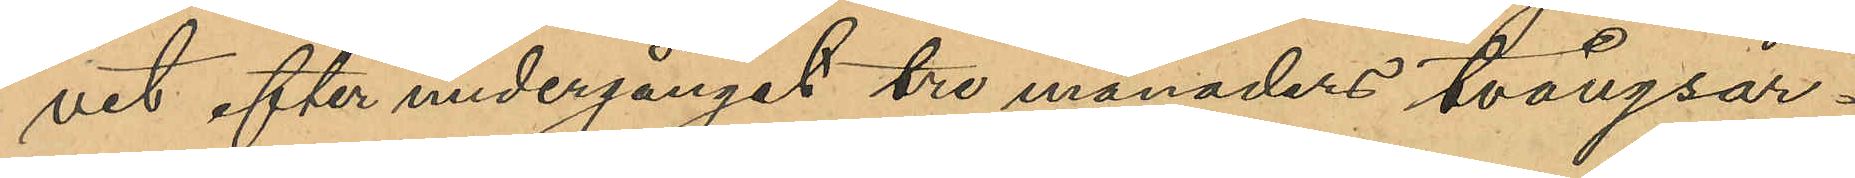vet efter undergånget tre månaders tvångsar¬
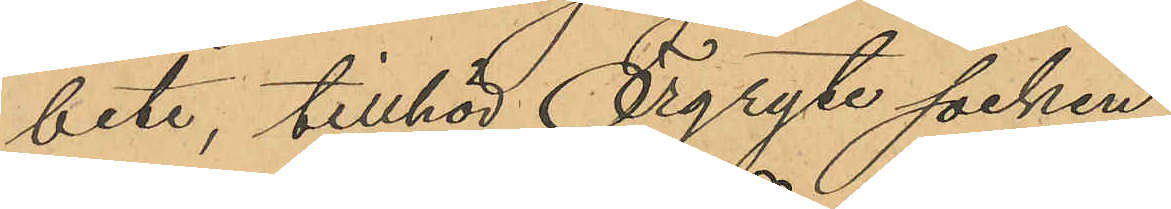bete, tillhör Örgryte socken.
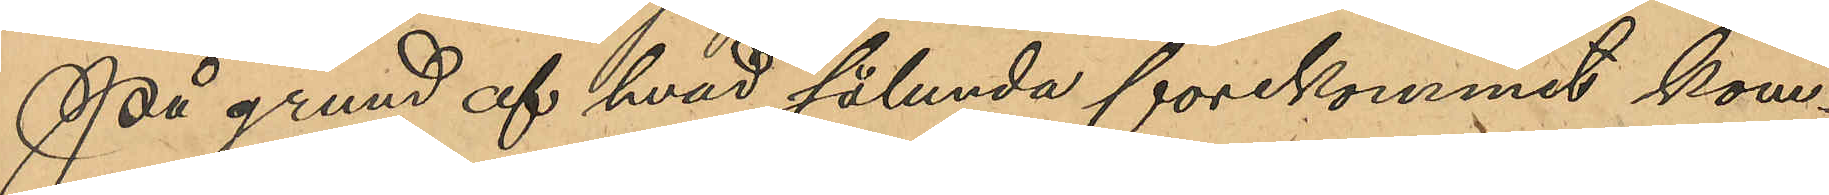På grund af hvad sålunda förekommit kom¬
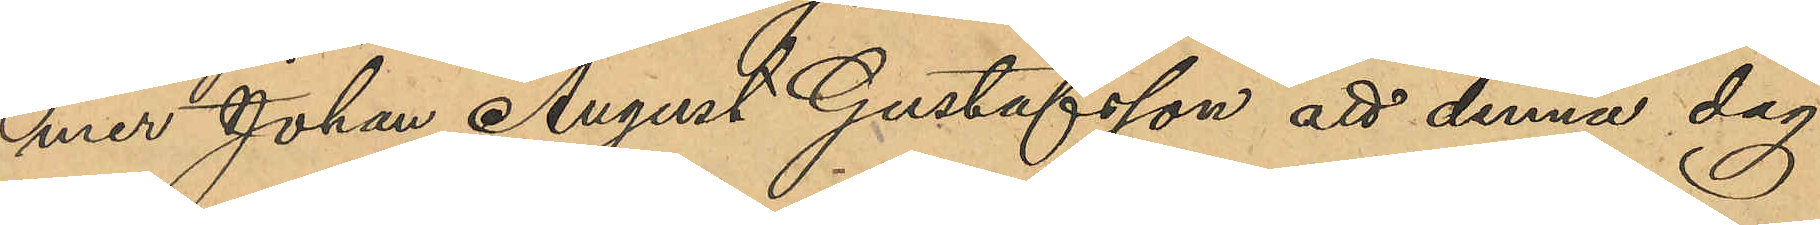mer Johan August Gustafsson att denna dag
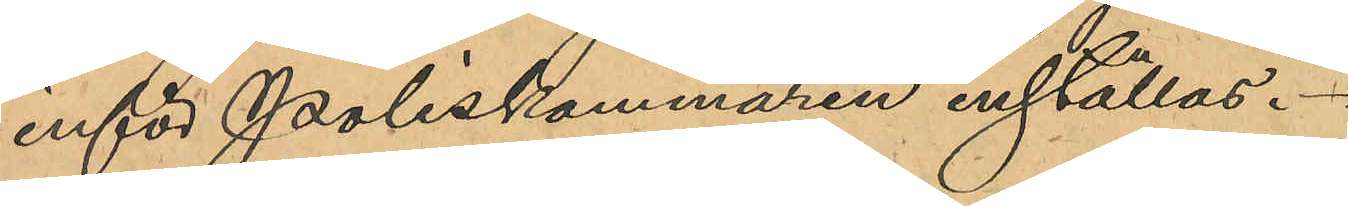inför Poliskammaren inställas.
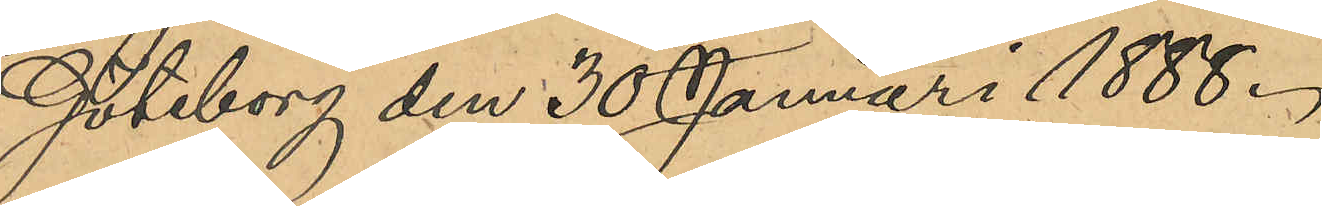Göteborg den 30 Januari 1888.
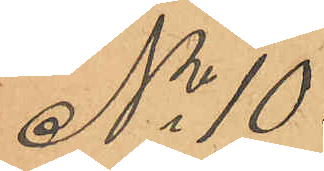No 10.
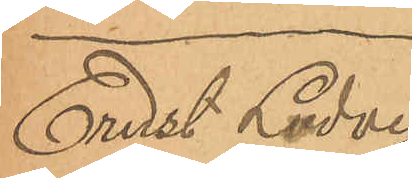Ernst Ludvig
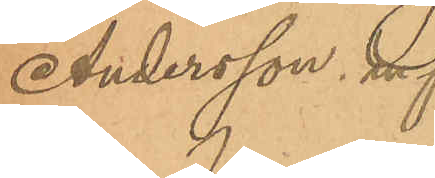Andersson m.fl.
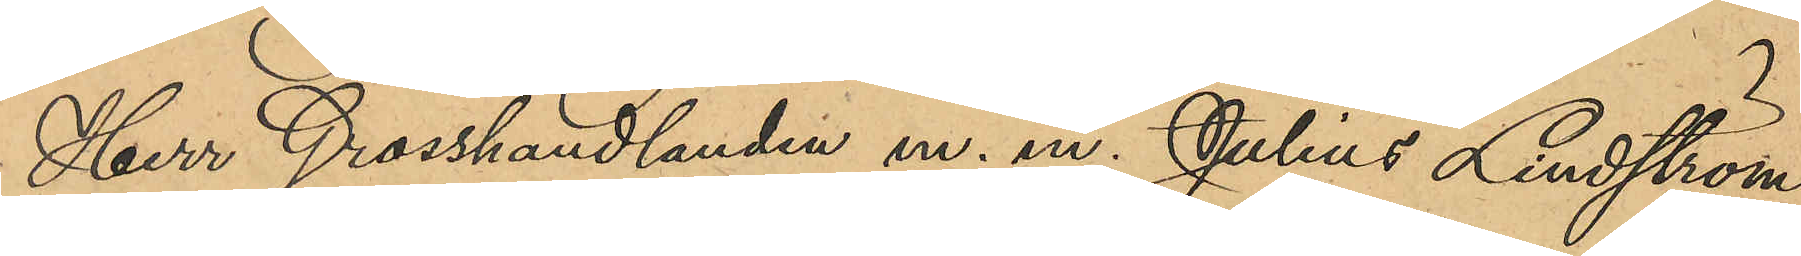Herr Grosshandlanden m. m. Julius Lindström
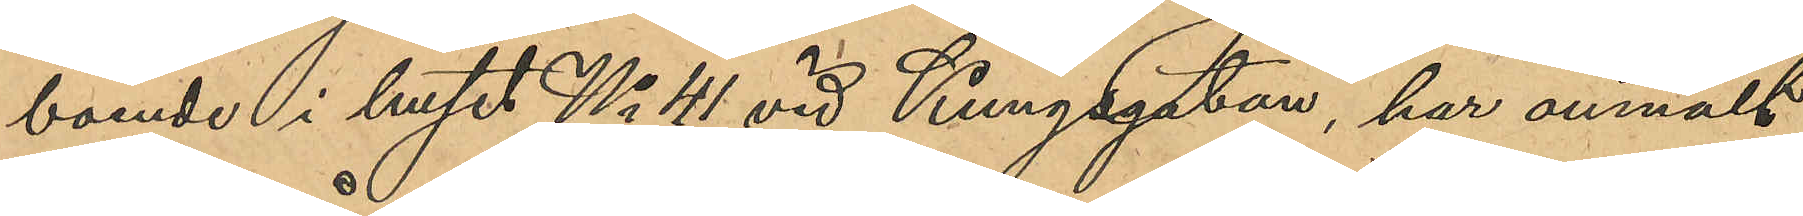boende i huset No 41 vid Kungsgatan, har anmält
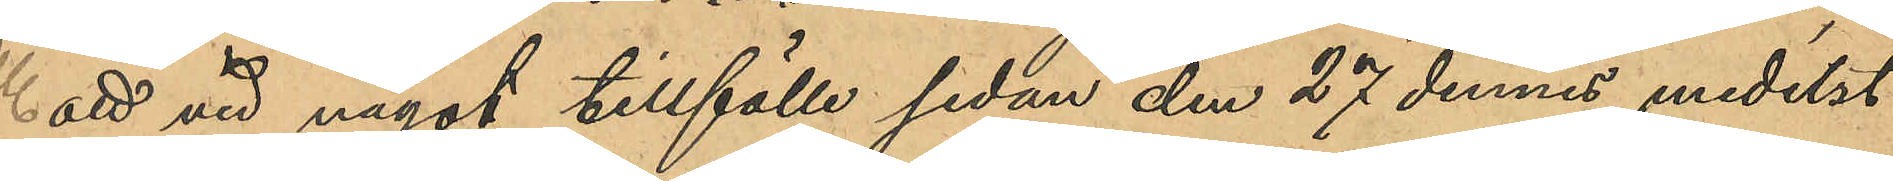att vid något tillfälle sedan den 27 dennes medelst
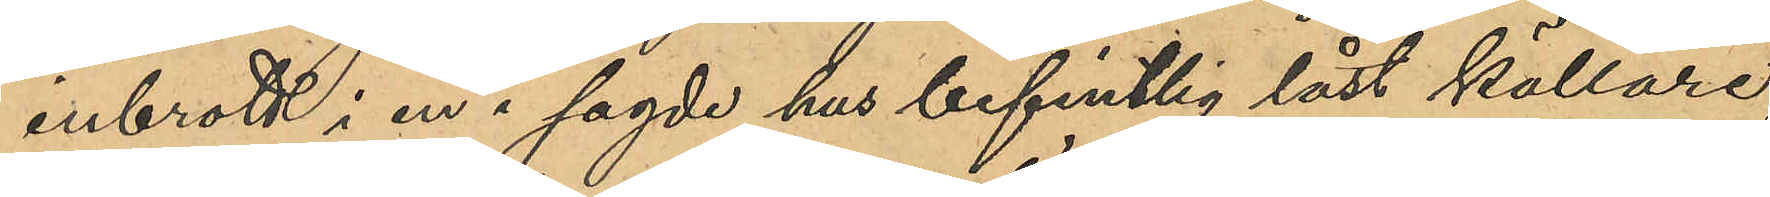inbrott i en i sagde hus befintlig låst källare,
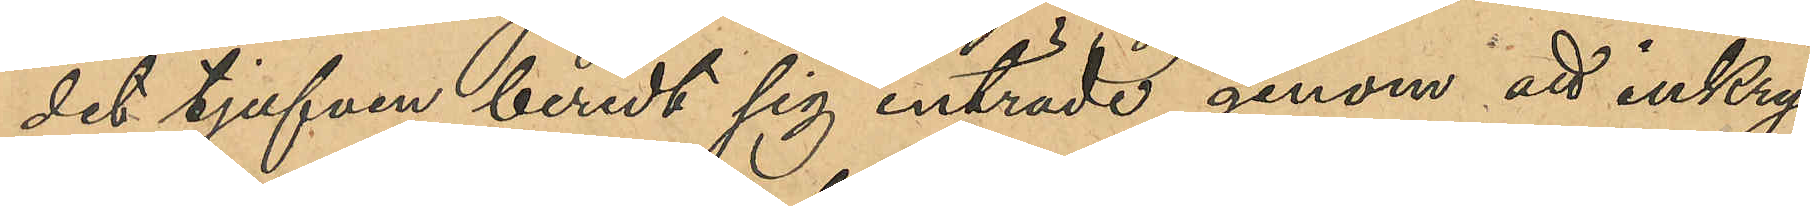dit tjufven beredt sig inträde genom att inkry¬
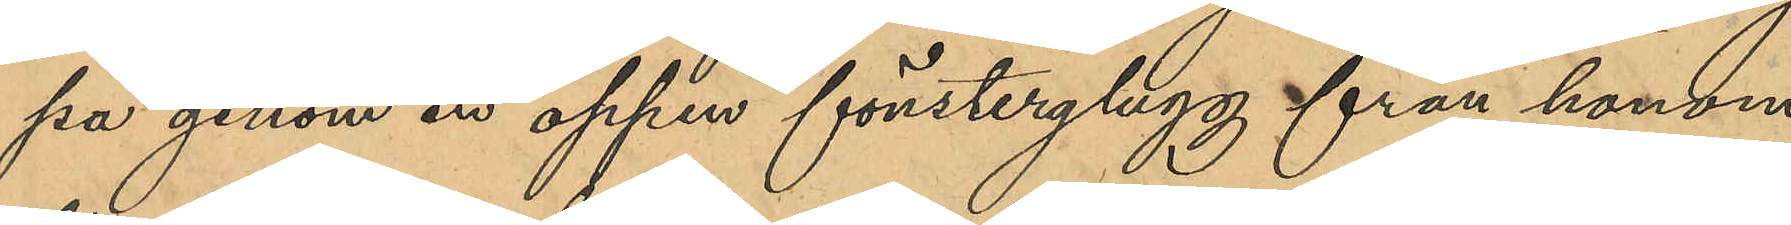pa genom en öppen fönsterglugg från honom
